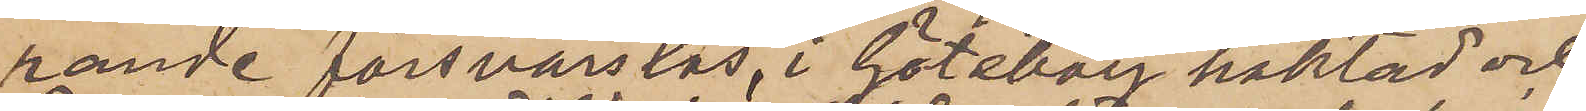rande försvarslös, i Göteborg häktad och
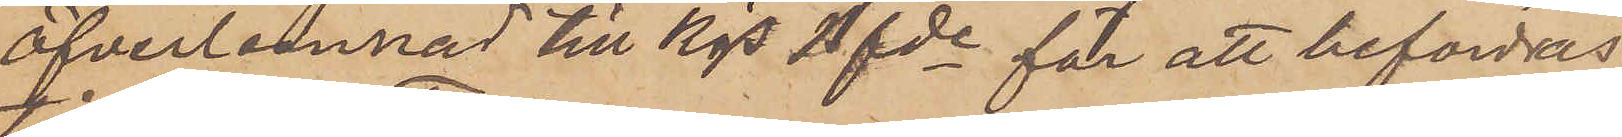öfverlemnat till Kgs Bfde för att befordas
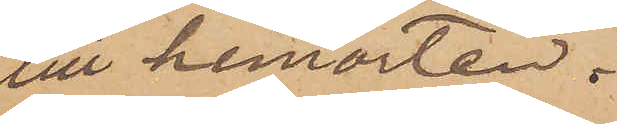till hemorten.
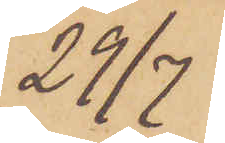29/7
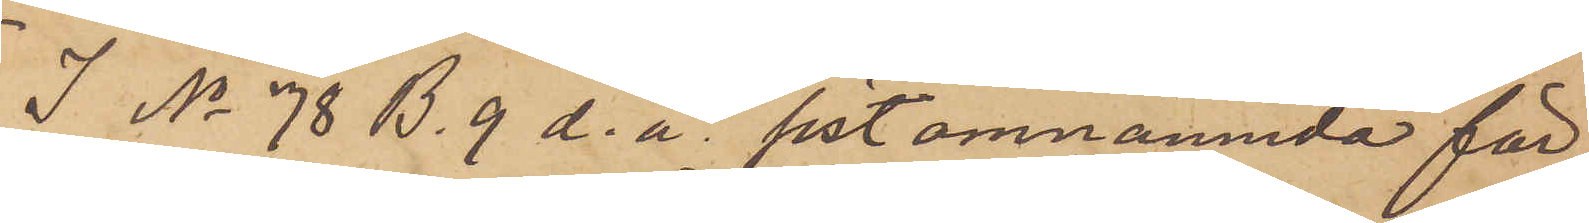I No 78 B. 9 d. å sist omnämnda för
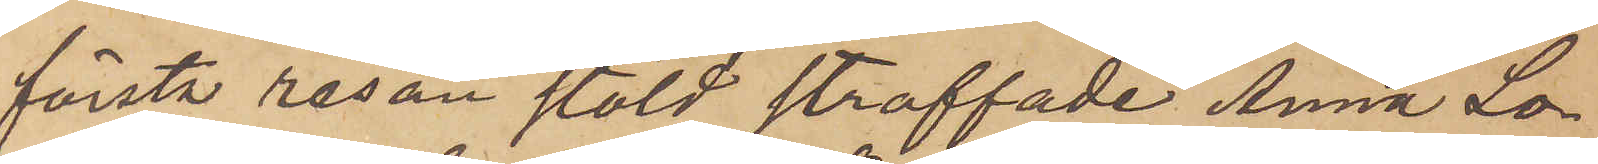första resan stöld straffade Anna Lo¬
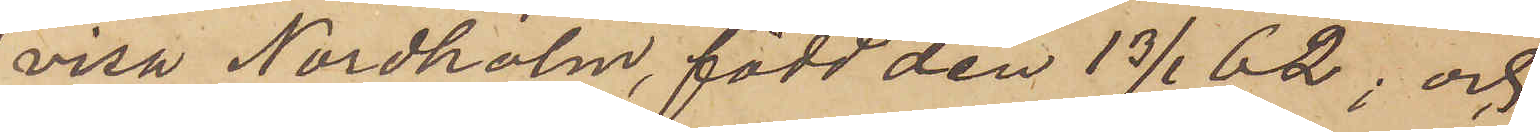visa Nordholm, född den 13/1 62; och
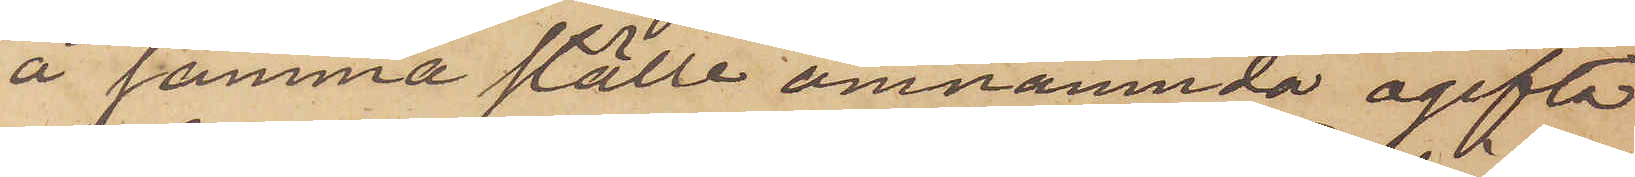å samma ställe omnämnda ogifta
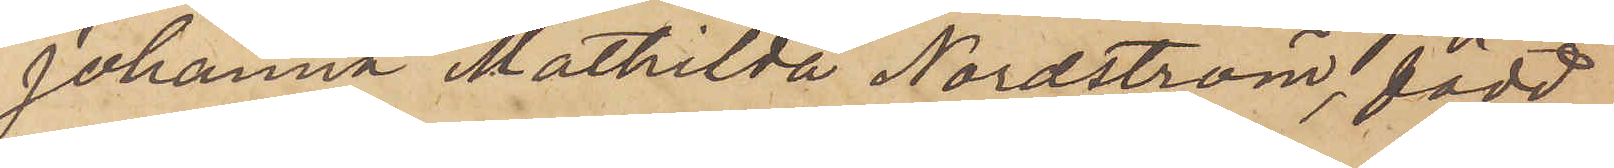Johanna Mathilda Nordström, född
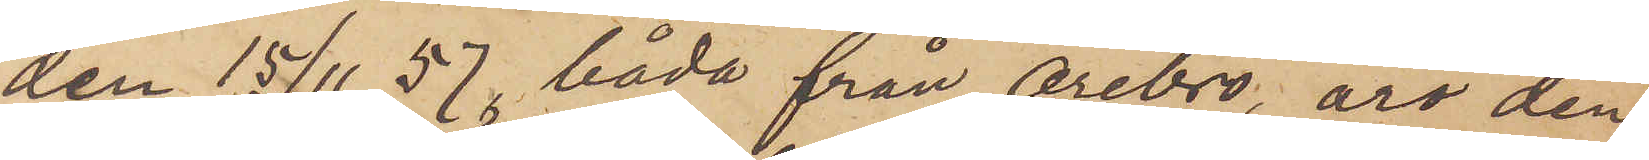den 15/11 57, båda från Örebro, äro den
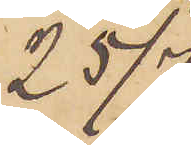25/7
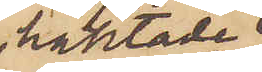häktade
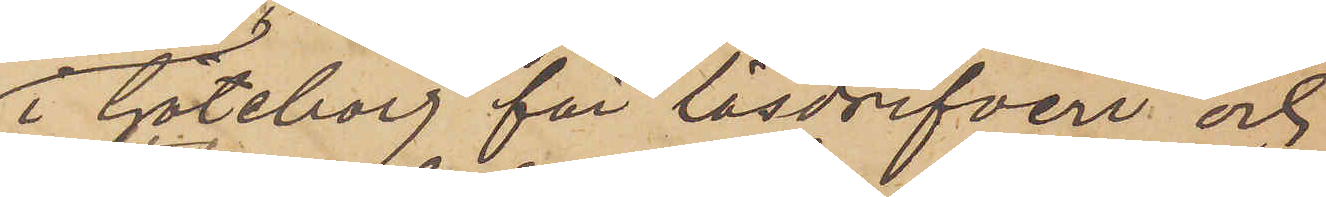i Göteborg för lösdrifveri och
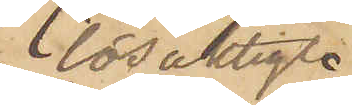lösaktigt
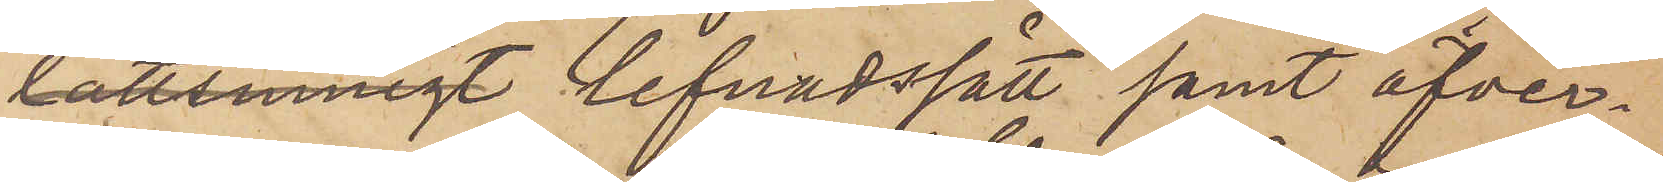lättsinnigt lefnadssätt samt öfver¬
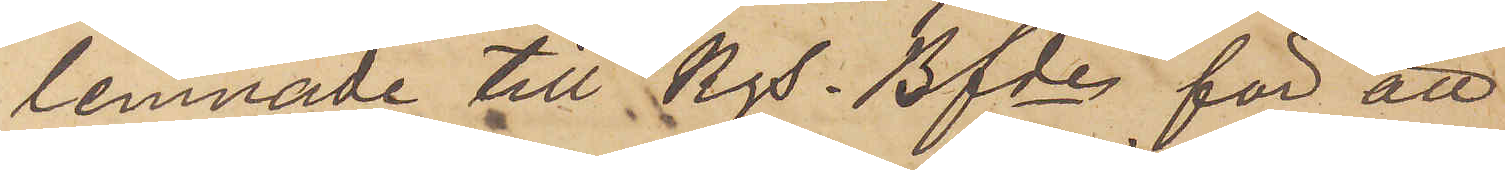lemnade till Kgs. Bfde för att
